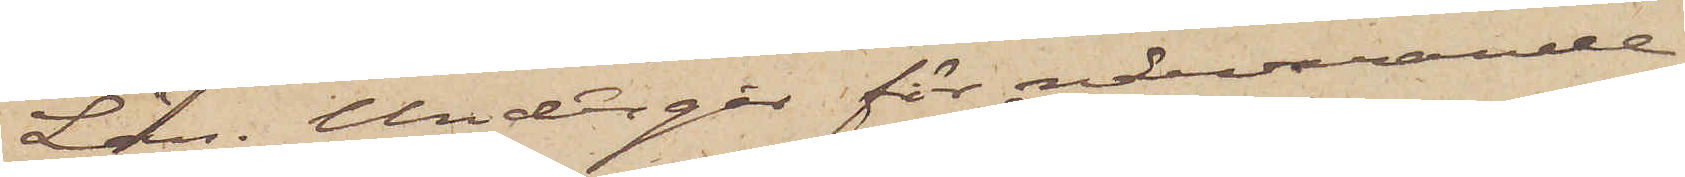Län. Undergår för närvarande
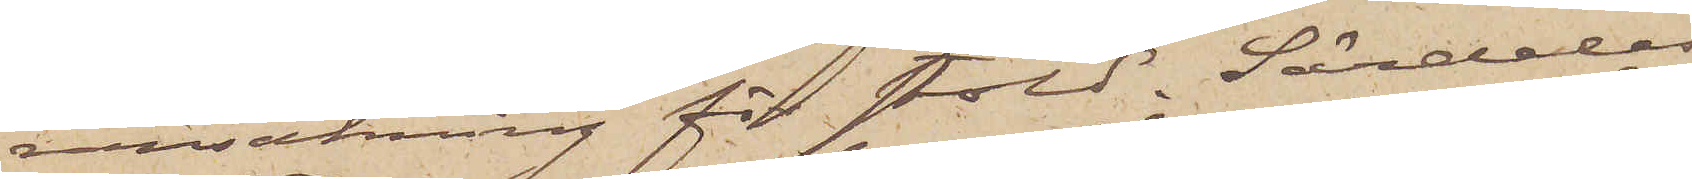ransakning för stöld. Särdeles
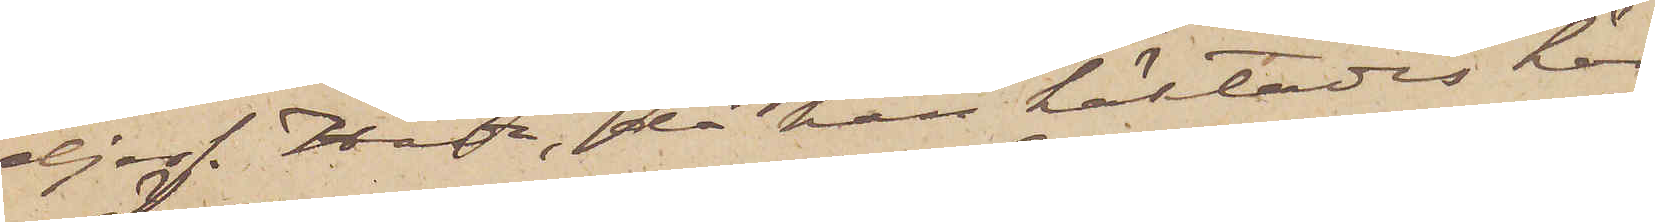djerf. Hade, då han häktades här,
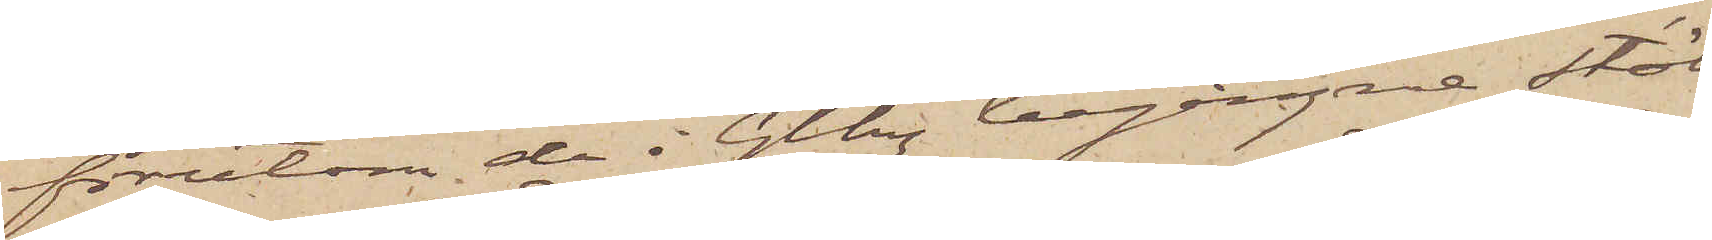förutom de i Gtbg begångne stöl¬
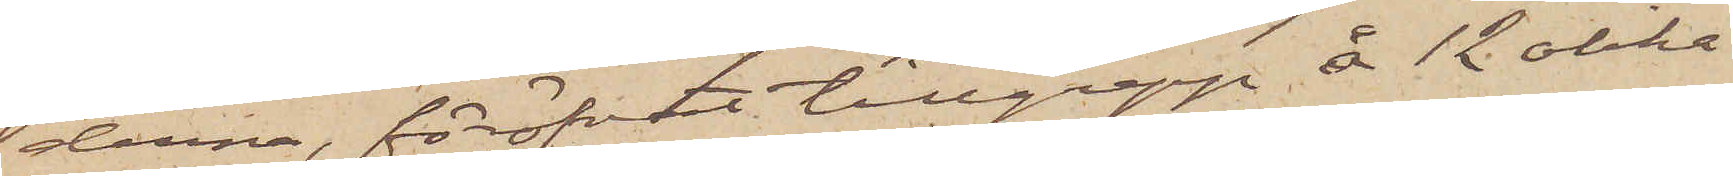derna, föröfvat tillgrepp å 12 olika
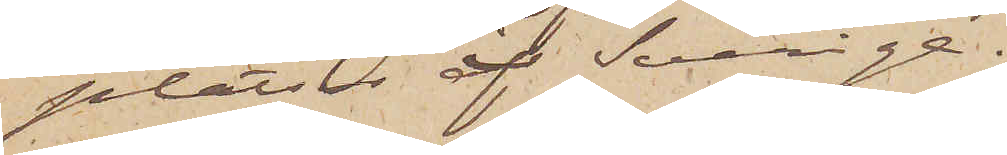platser i Sverige.
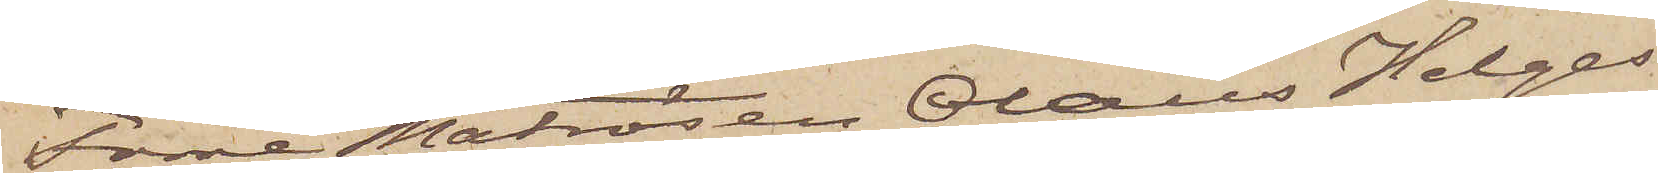Förre Matrosen Olaus Helges¬
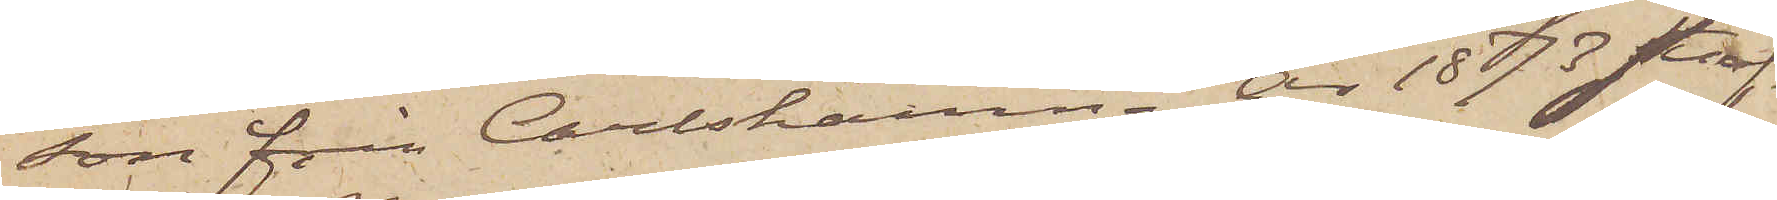son från Carlshamn. År 1873 straf¬
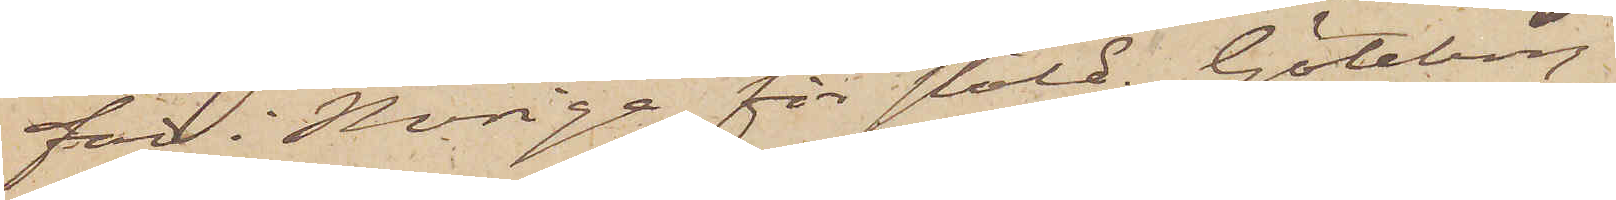fad i Norige för stöld. Göteborg i
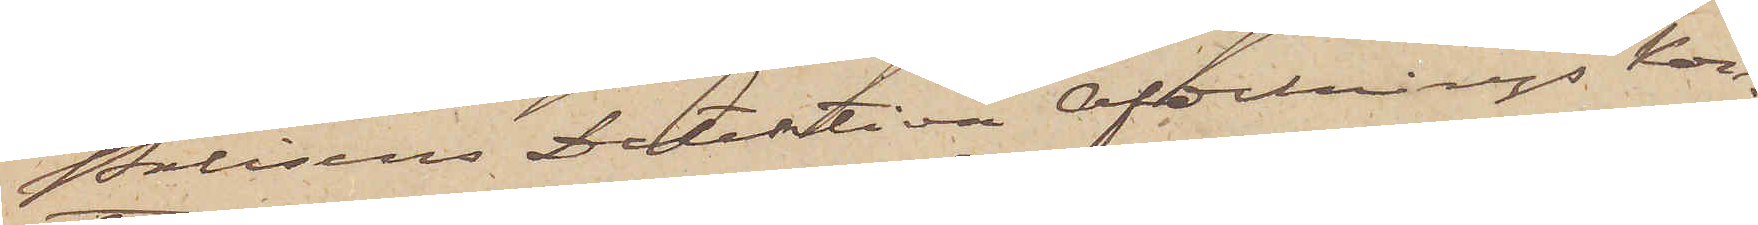Polisens Detektiva Afdelnings Kon¬
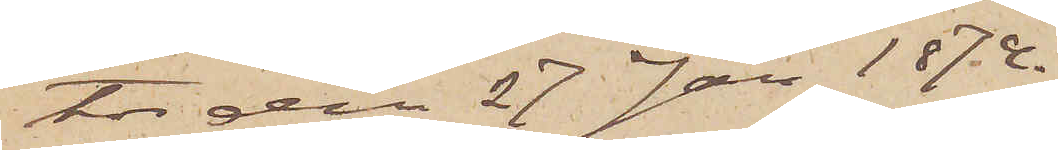tor den 27 Jan 1874.
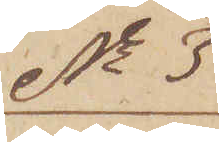No 3
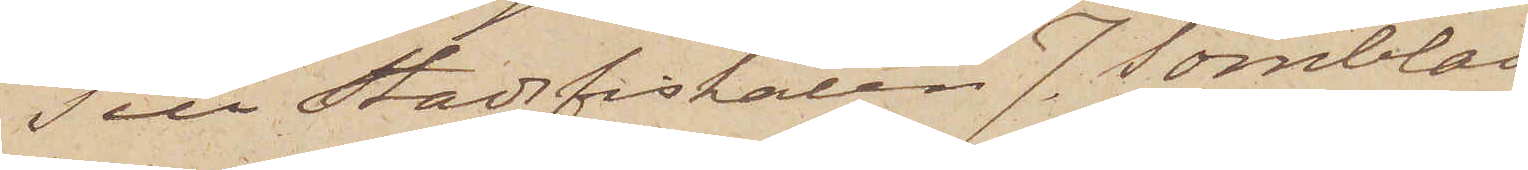Till Stadsfiskalen J. Törnblad
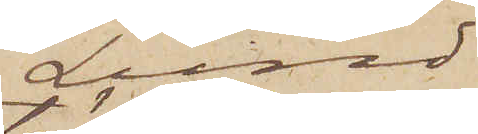Lund
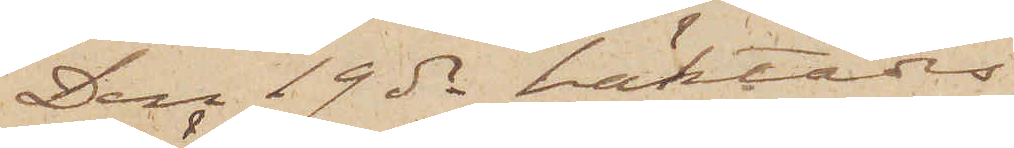Den 19 ds häktades
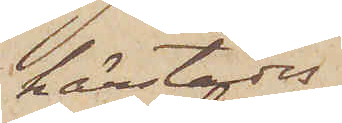härstädes
